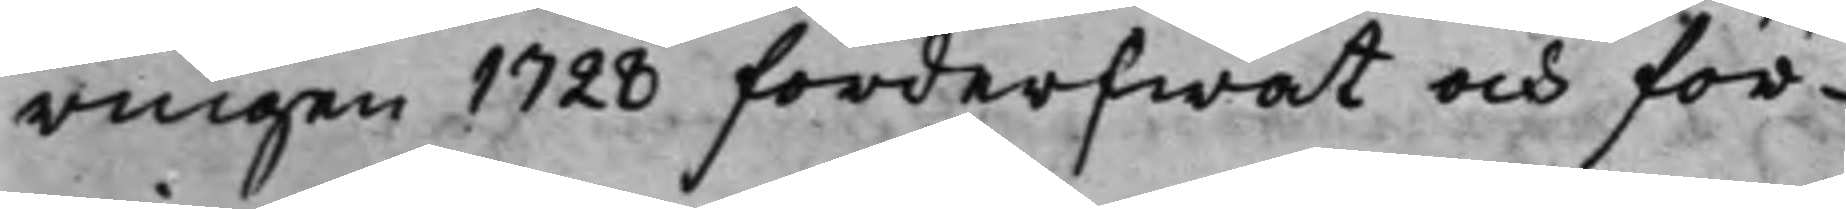ringen 1728 förderfwat och för¬
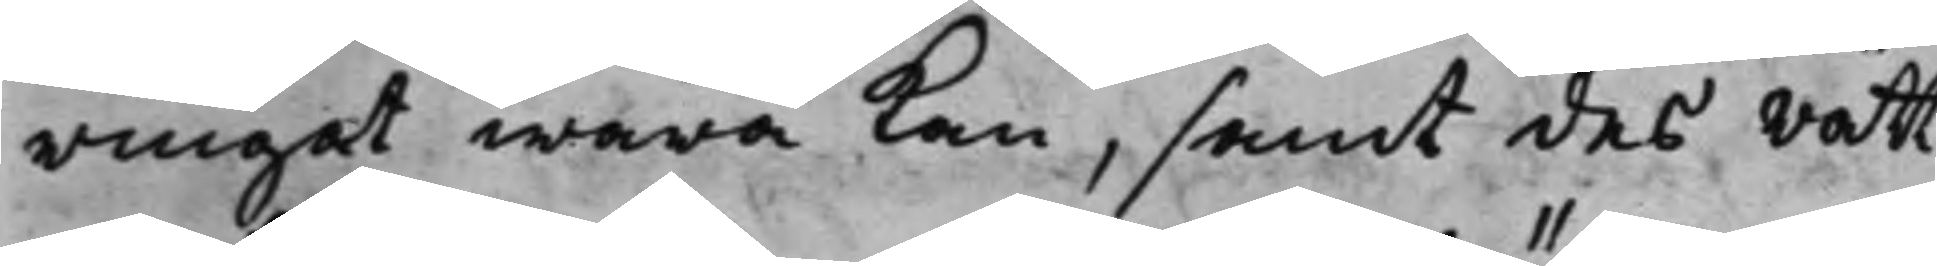ringat wara kan, samt des rätt
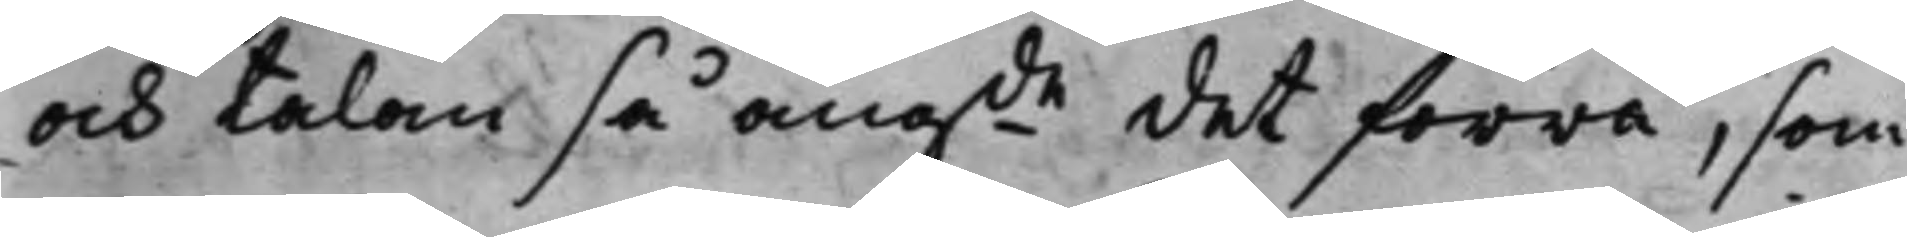och talan så angde det förra, som
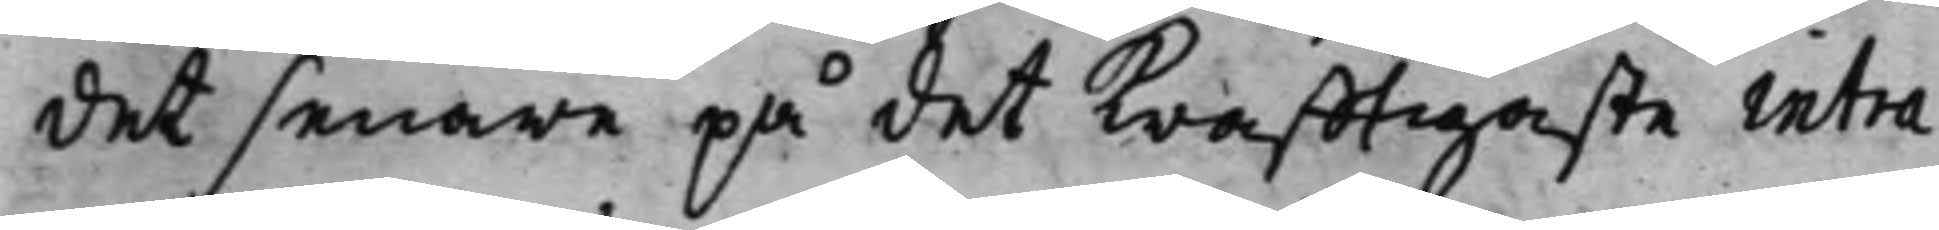det senare på det krafftigaste intra
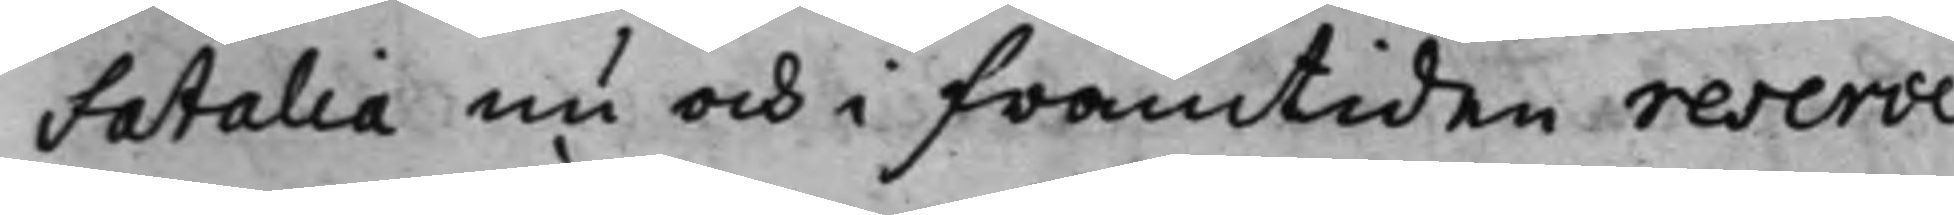fatalia nu och i framtiden reserve¬
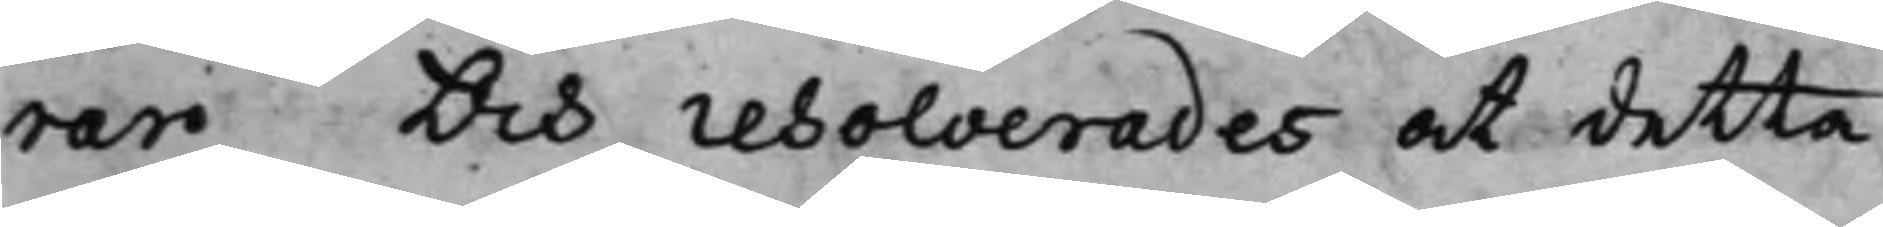rar. Och resolverades at detta
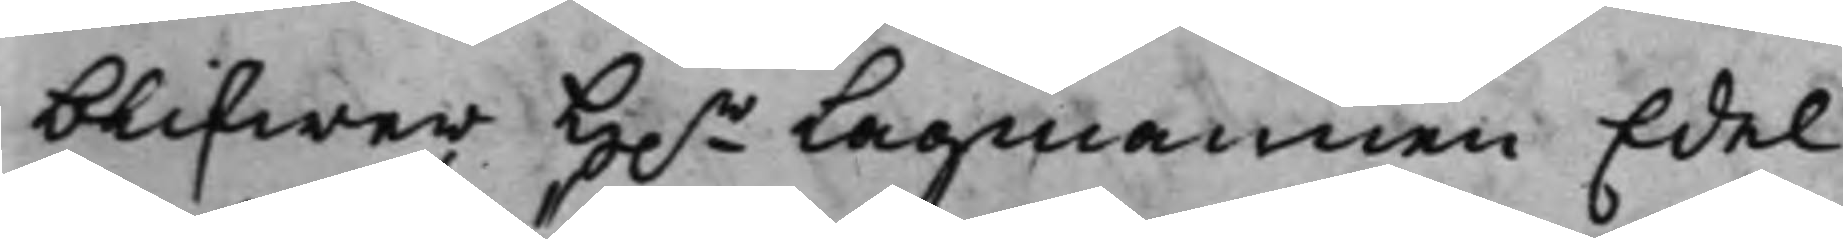blifwer H.r Lagmannen Edel
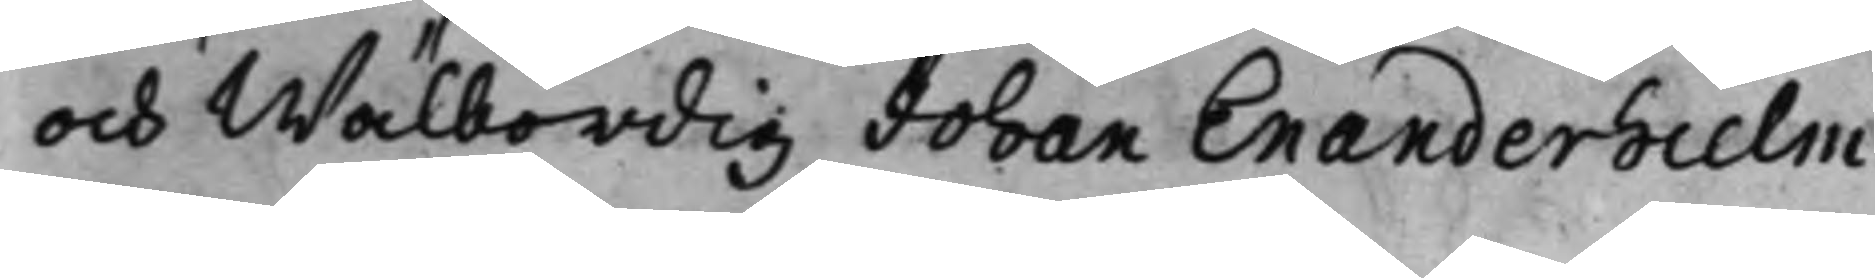och Wälbördig Johan Enanderhielm
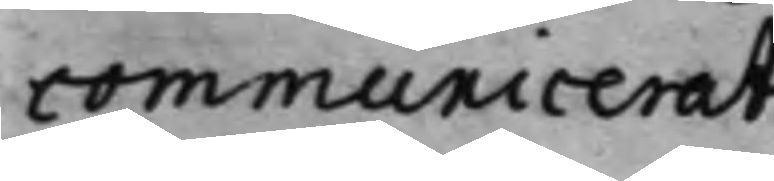communicerat.
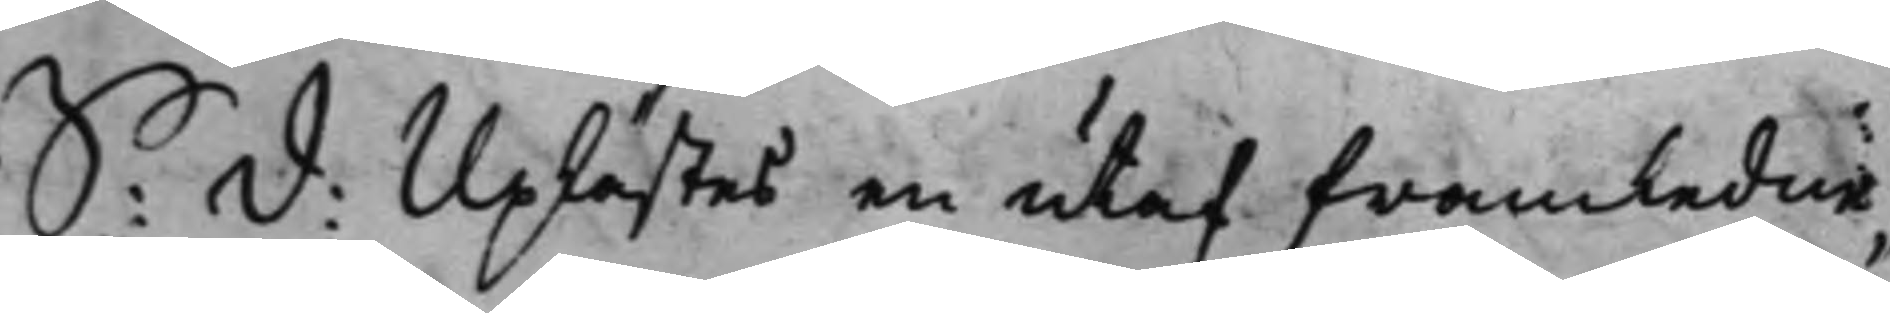S: D: Uplästes en utaf framledne
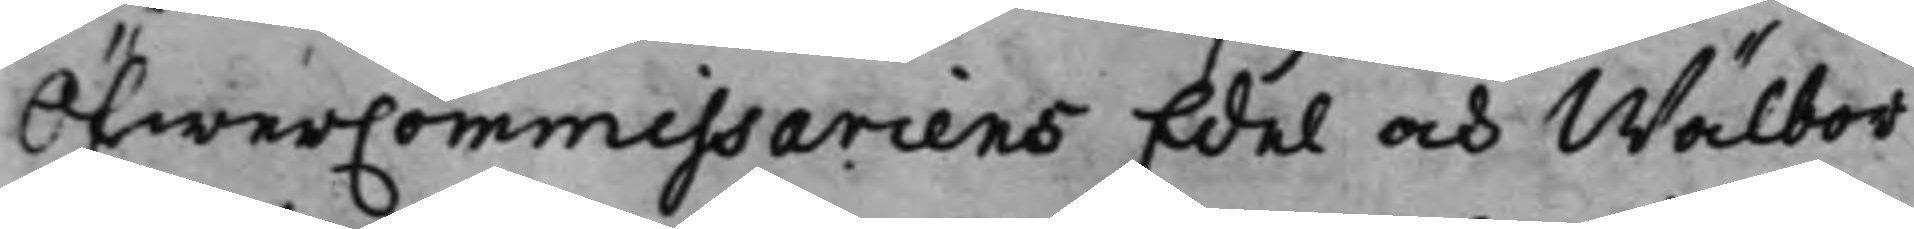ÖfwerCommissariens Edel och Wälbör¬
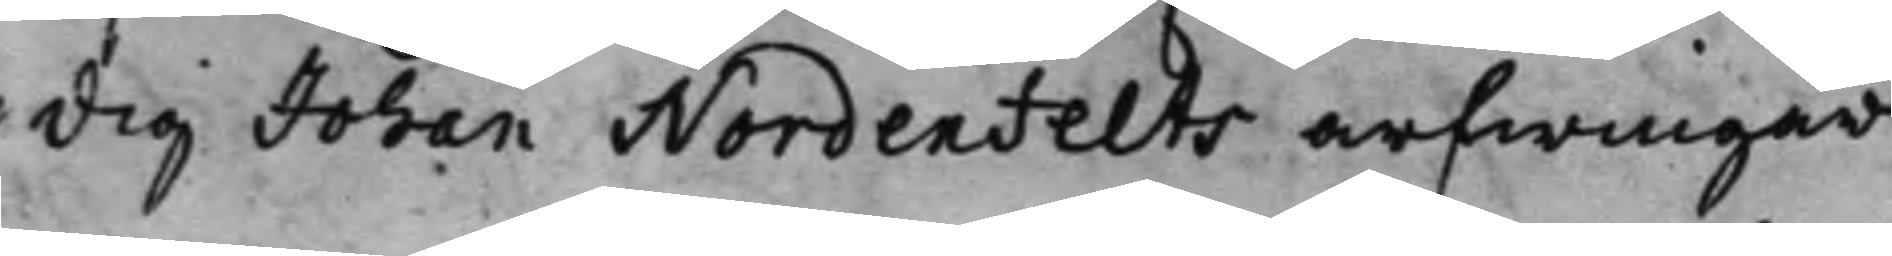dig Johan Nordenfelts arfwingar
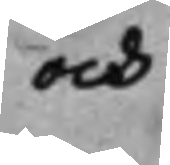och
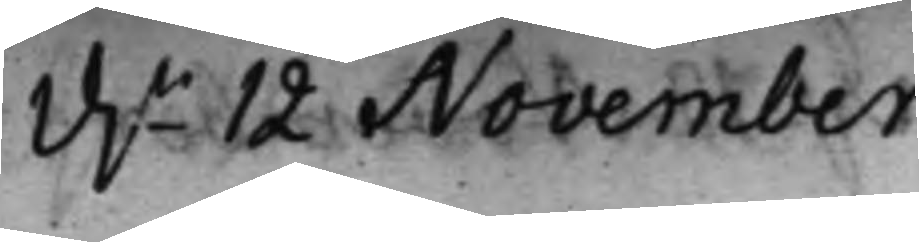d.n 12 November
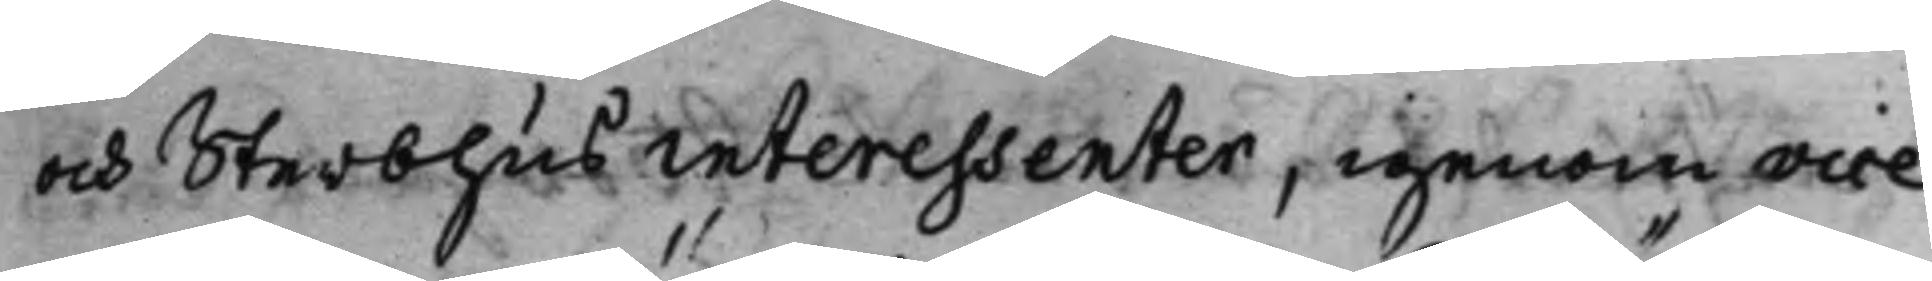och Sterbhus interessenter, igenom vice
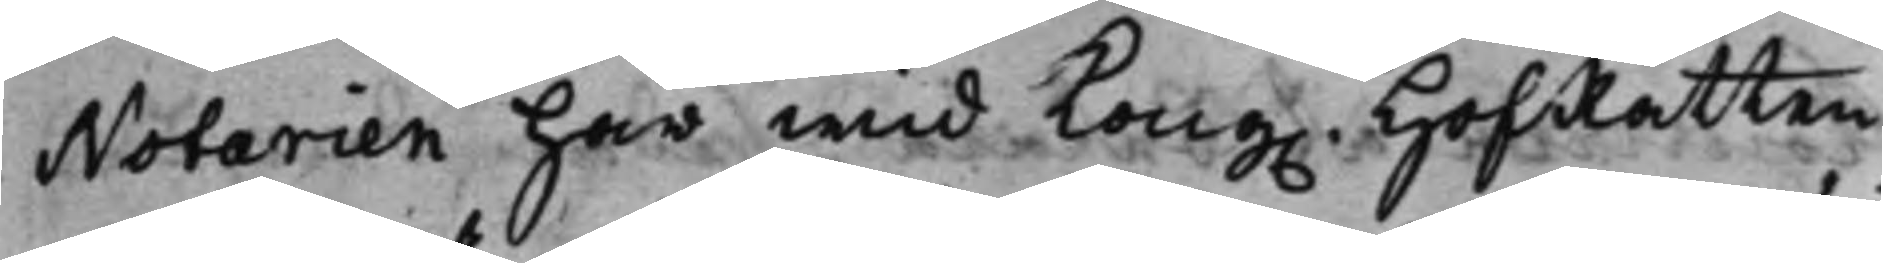Notarien här wid Kong. HofRätten
